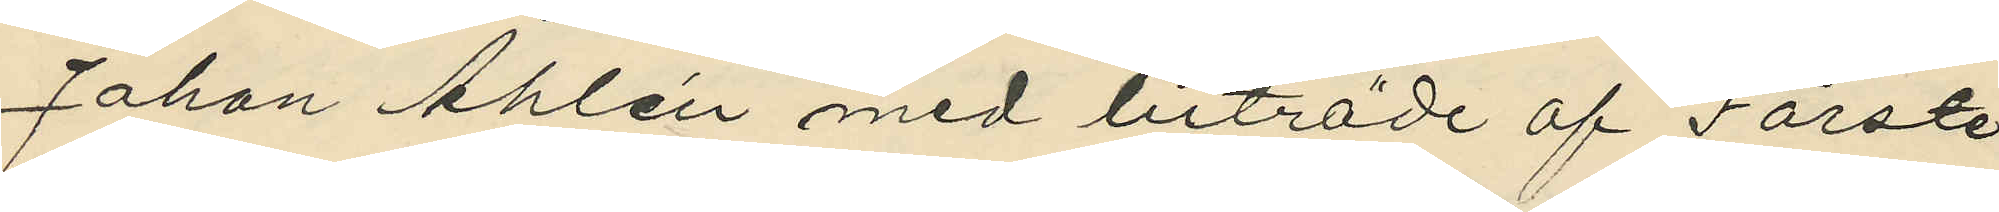Johan Åhlén med biträde af Förste
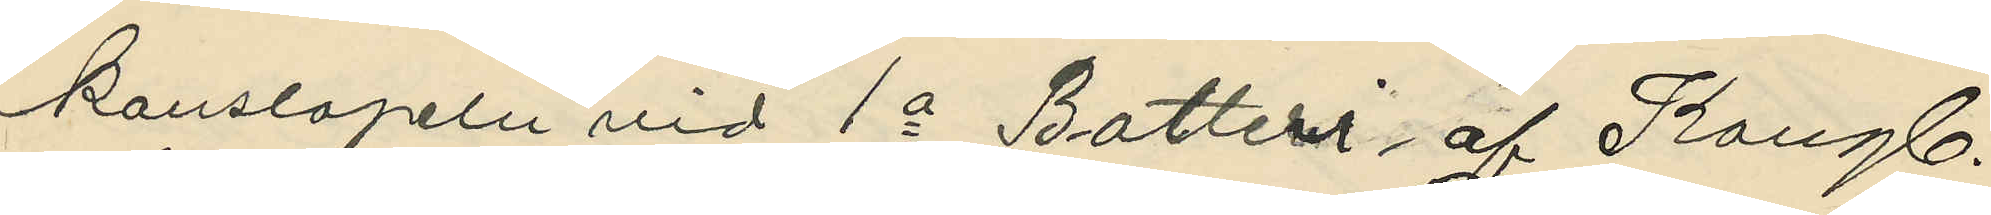konstapeln vid 1a Batteri af Kongl.
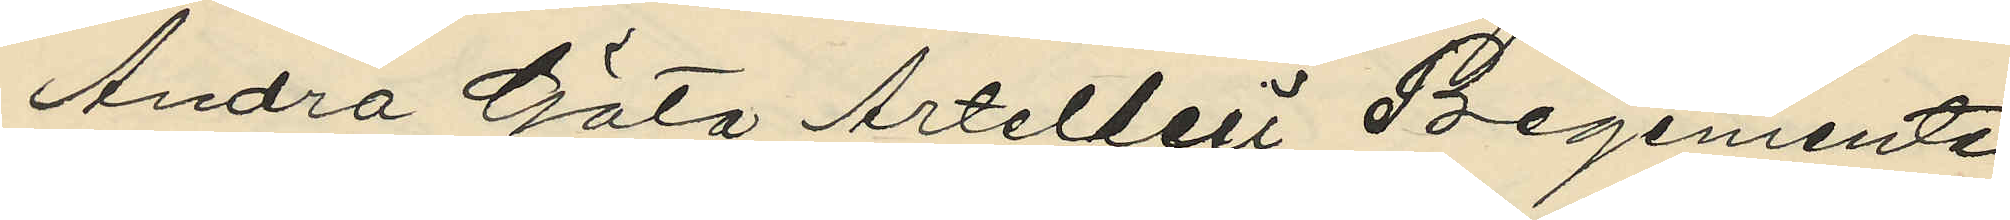Andra Göta Artelleri Regemente
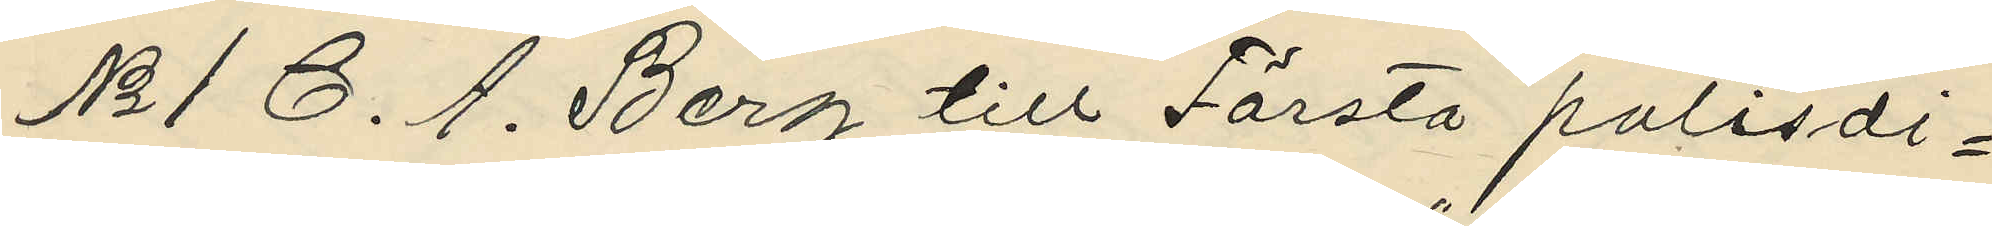No 1 C. A. Berg till Första polisdi¬
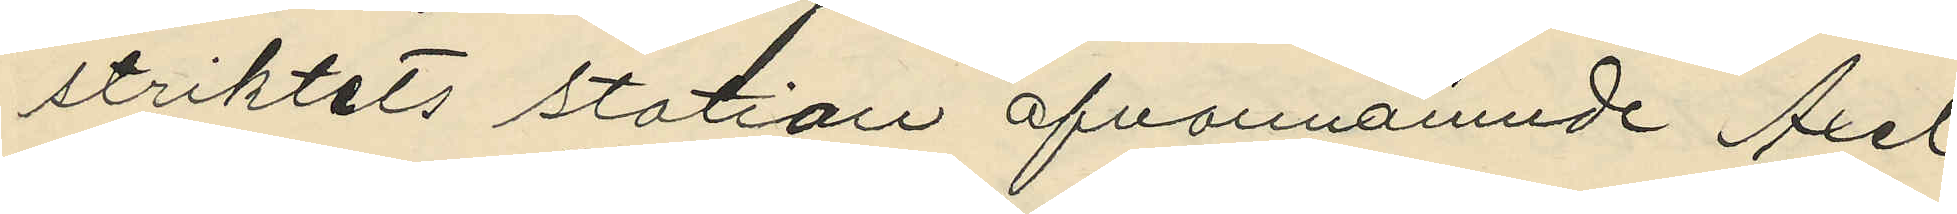striktets station ofvannämnde Axel
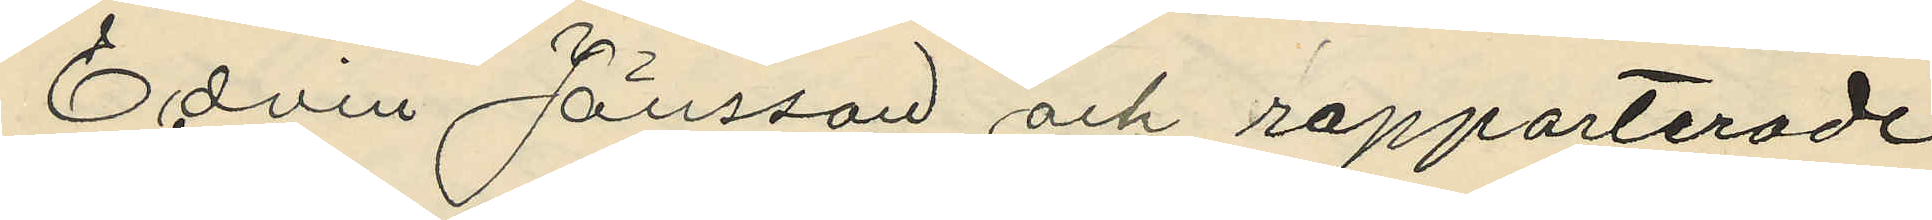Edvin Jönsson och rapporterade
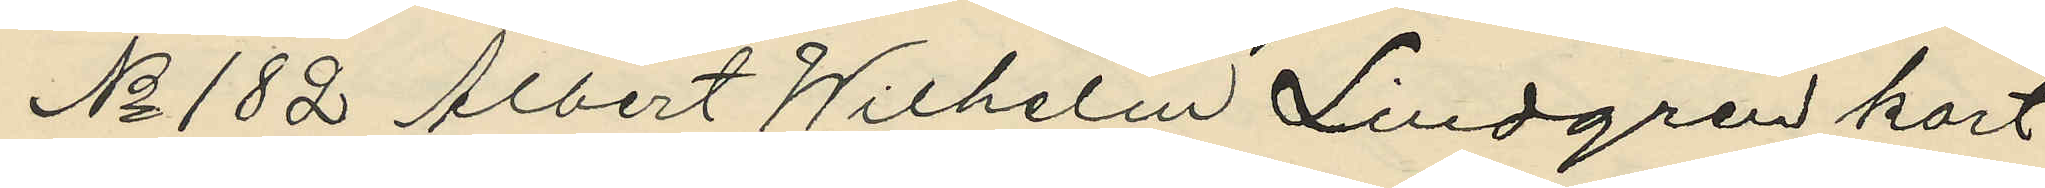No 182 Albert Wilhelm Lindgren kort
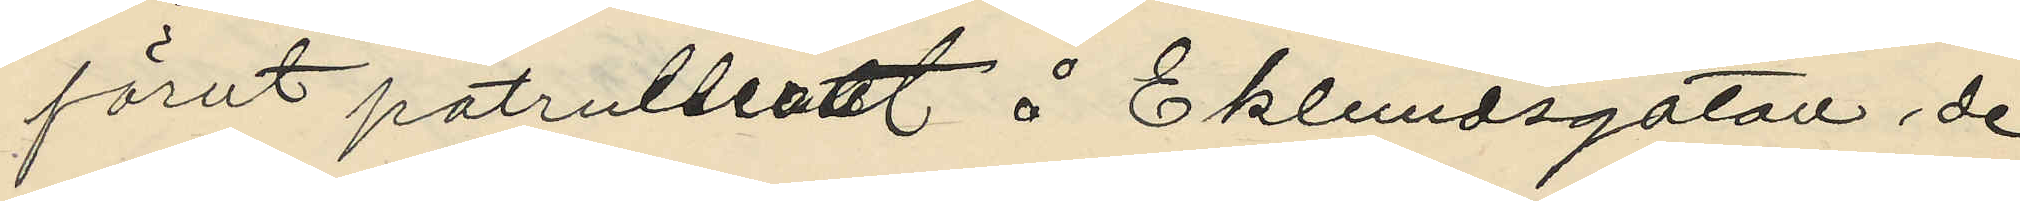förut patrullerat å Eklundsgatan de
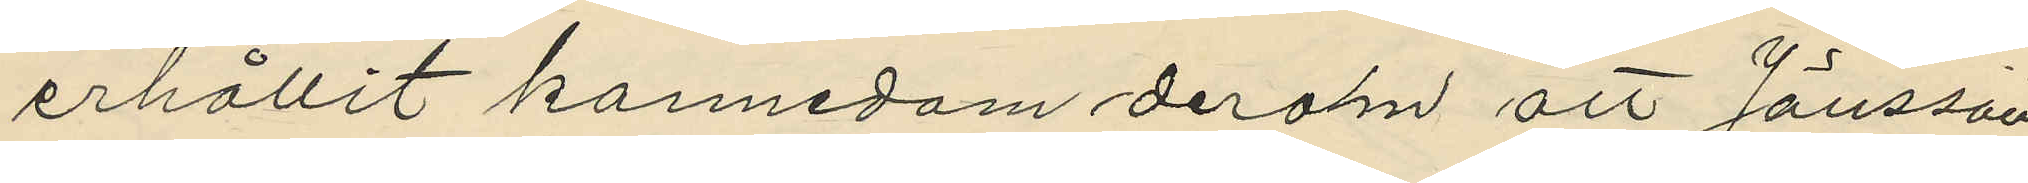erhållit kannedom derom att Jönsson
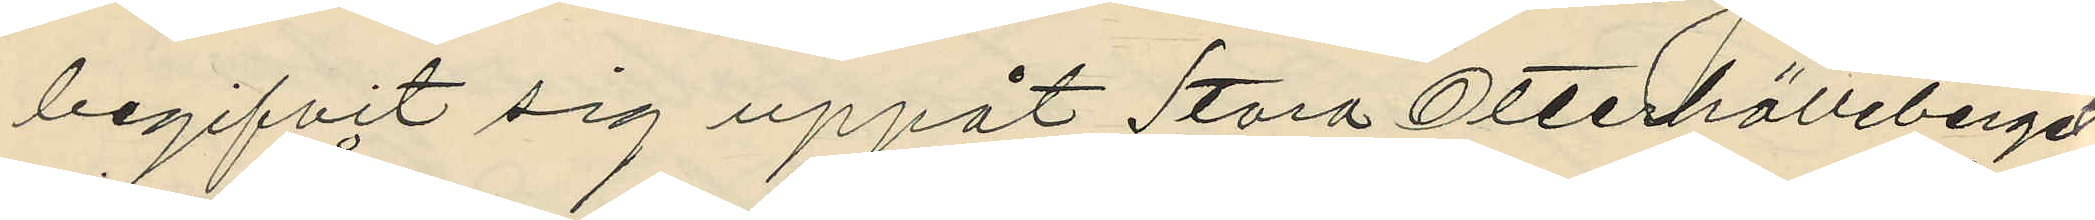begifvit sig uppåt Stora Otterhälleberget;
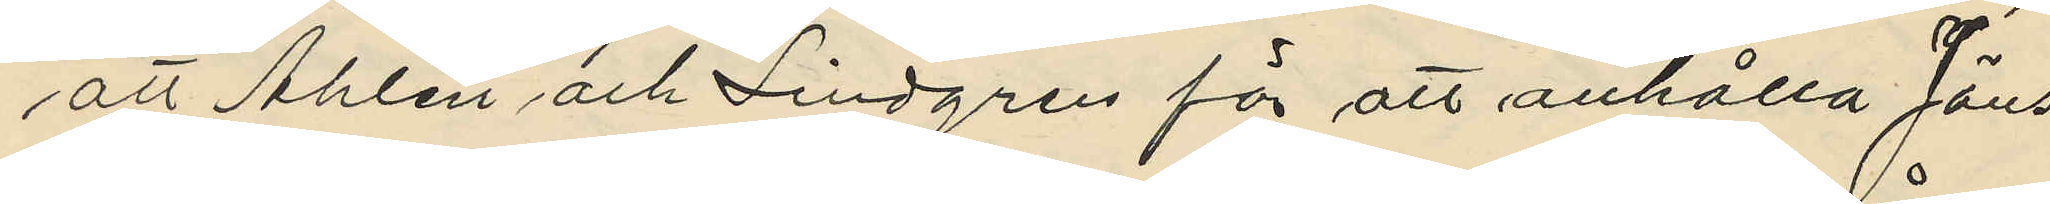att Åhlén och Lindgren för att anhålla Jöns¬
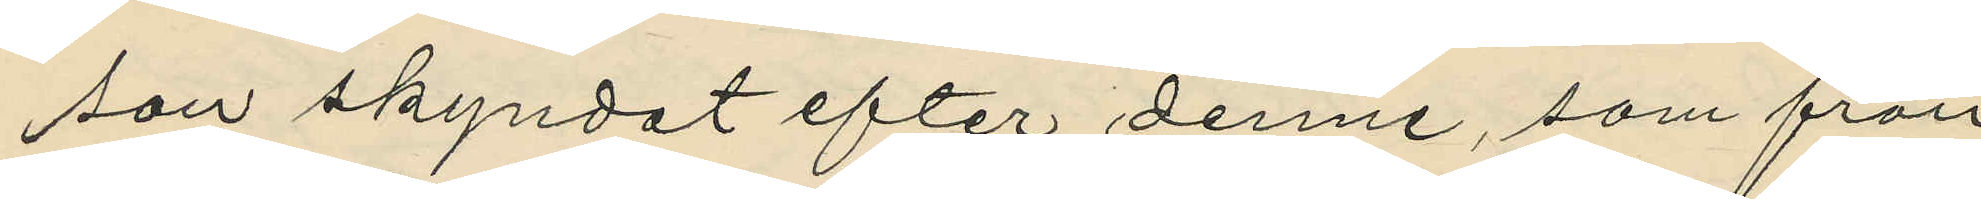son skyndat efter denne, som från
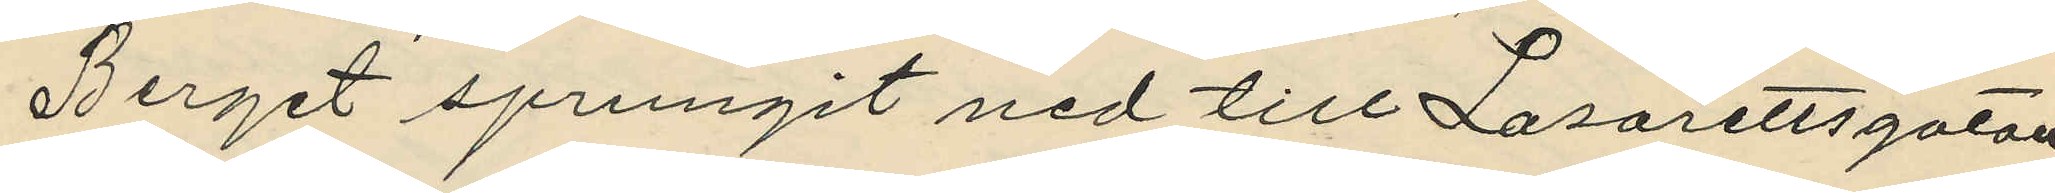Berget sprungit ned till Lasarettsgatan,
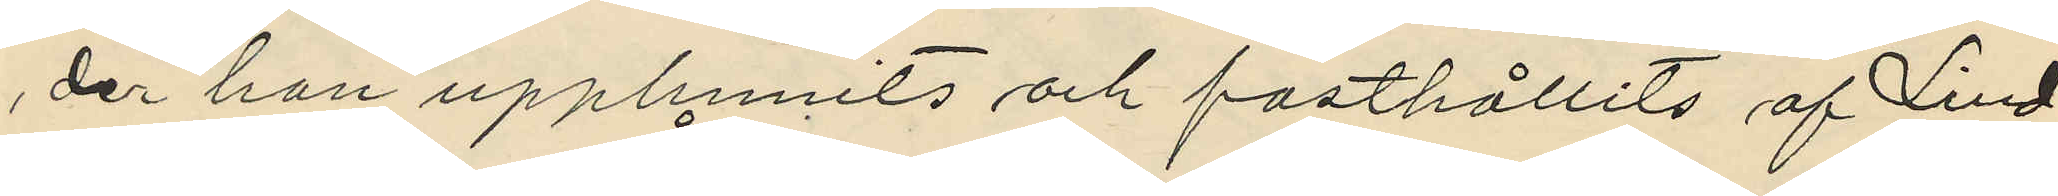der han upphunits och fasthållits af Lind¬
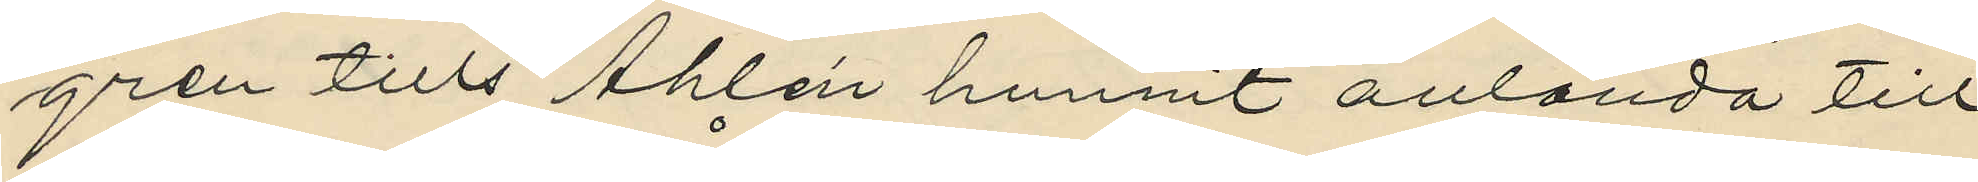gren tills Åhlén hunnit anlända till
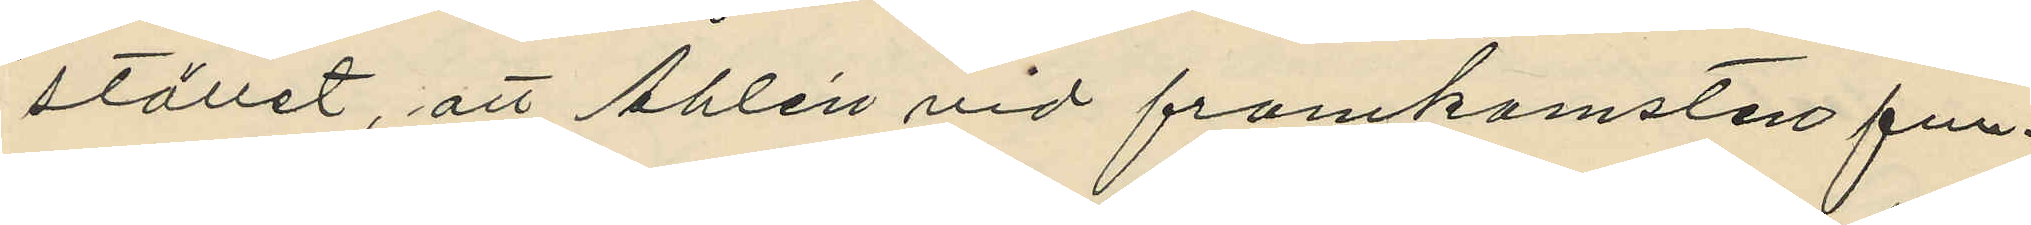stället, att Åhlén vid framkomsten fun¬
